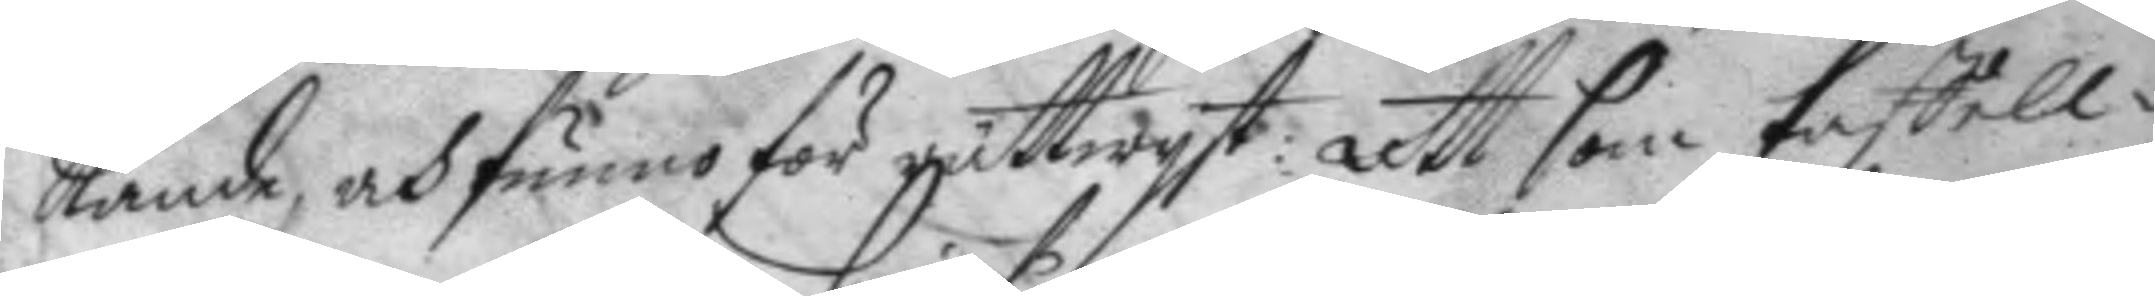kande, och funno för rättwyst: Att som taffell¬
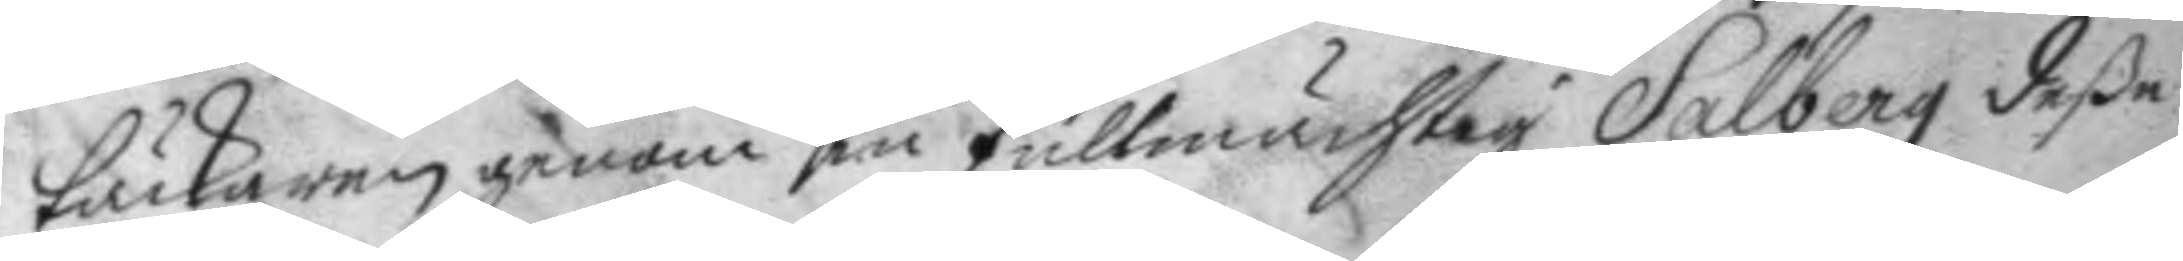täckaren genom sin fullmächtig Salberg deße
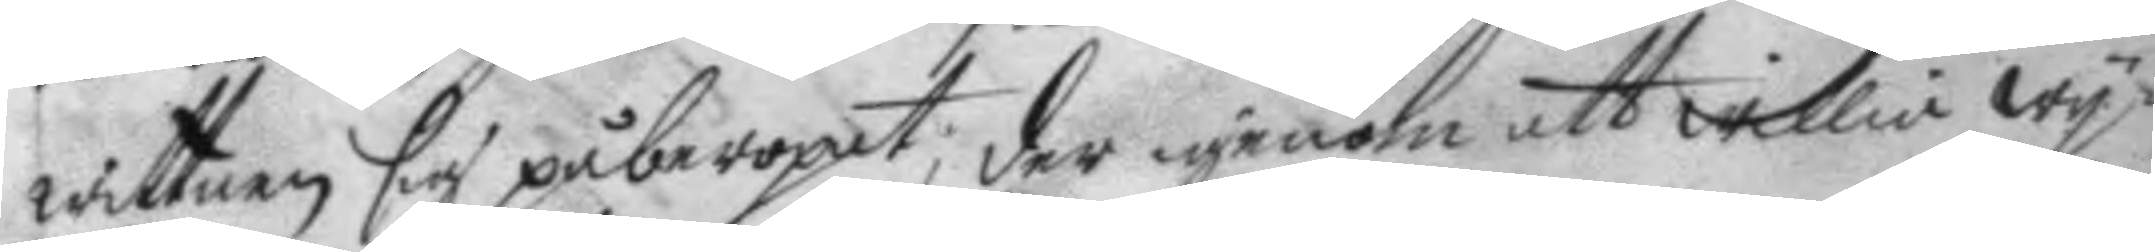wittnen sig påberopet, der igenom att willia wy¬
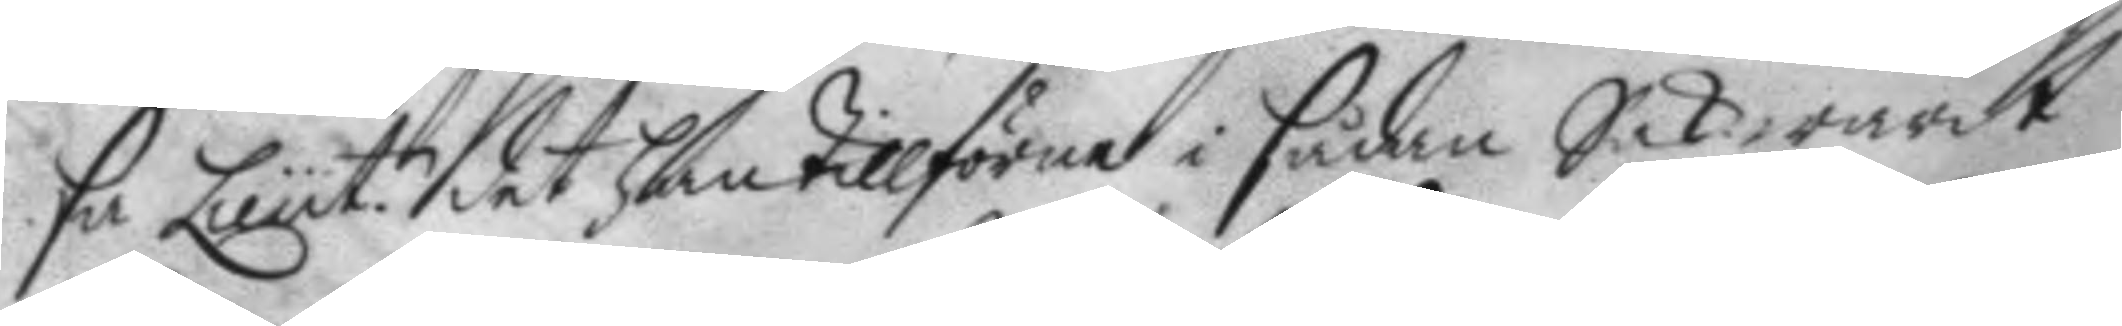sa Lieut.n det han tillförne i sådan Sak warit 
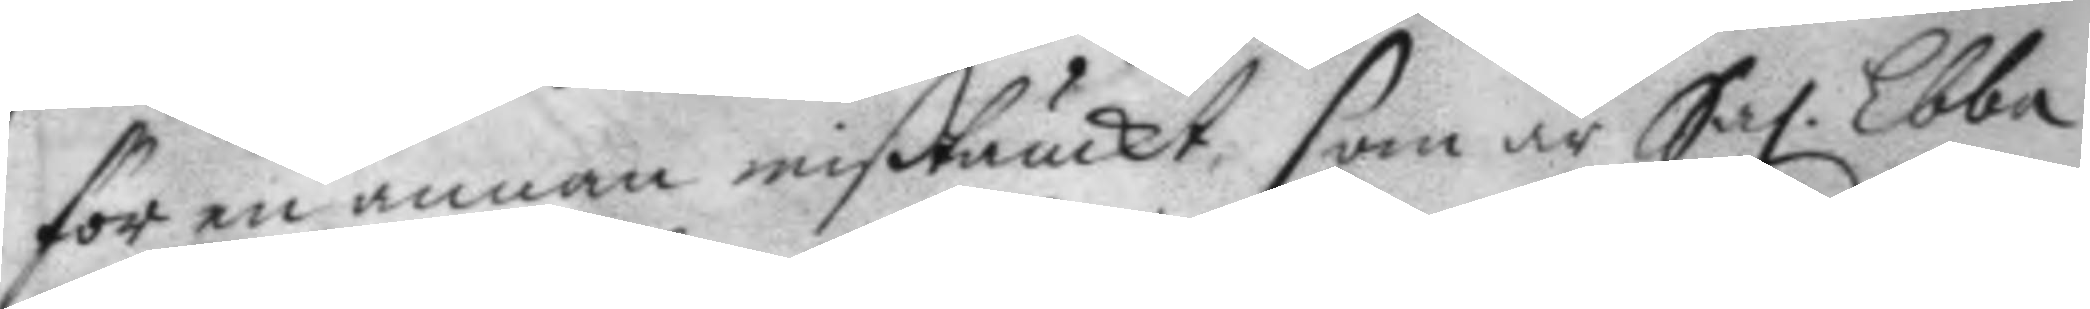för en annan mißtänckt, som är Sal. Ebba 
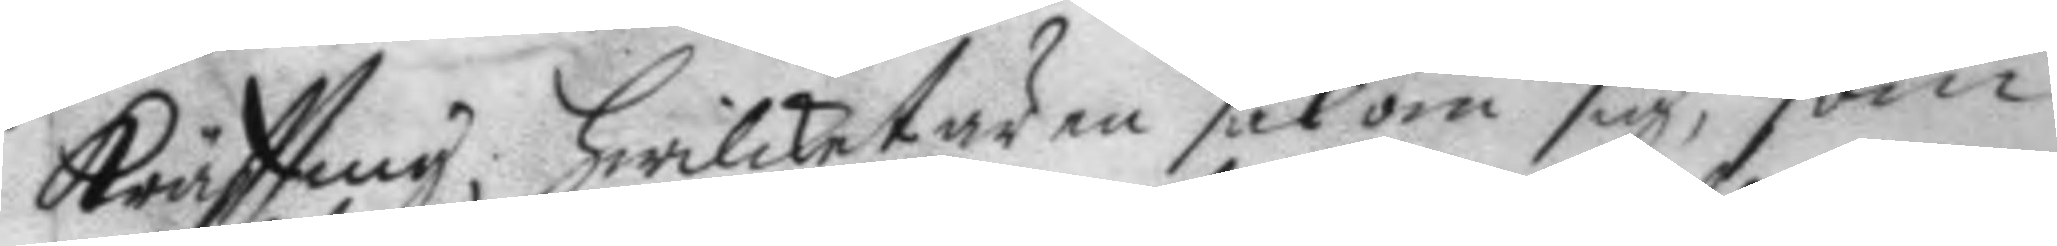Kräffting, hwilket är en sak om sig, som
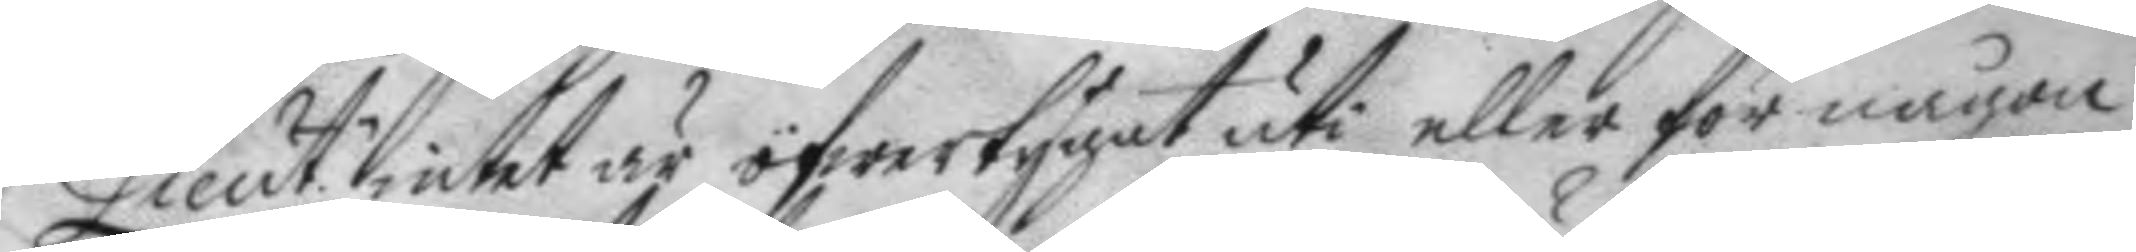Lieut. intet är öfwertygat uti eller för någon
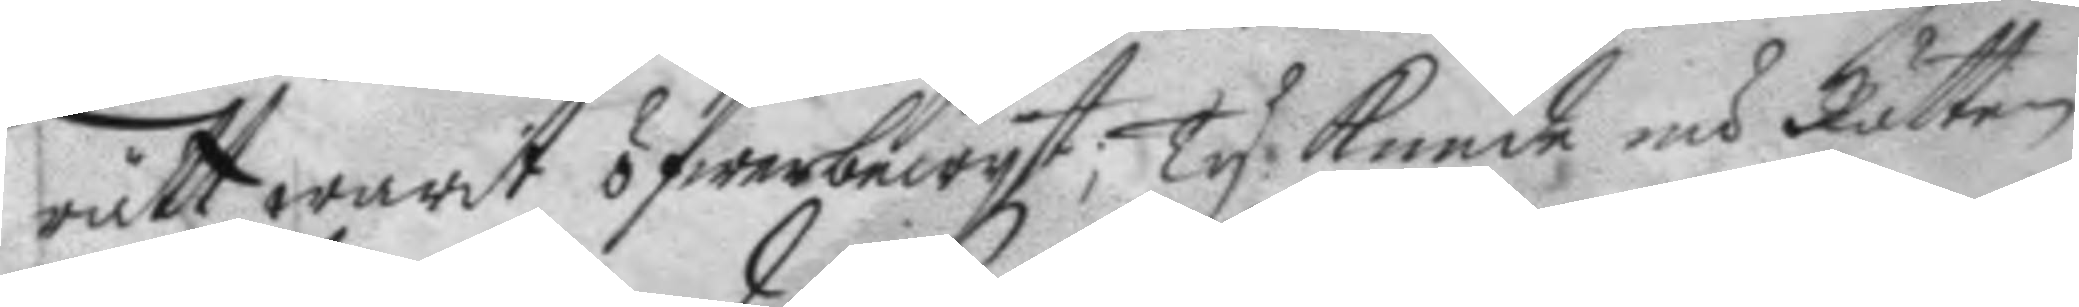rätt warit öfwerbewyst; Ty kunde nu Rätten
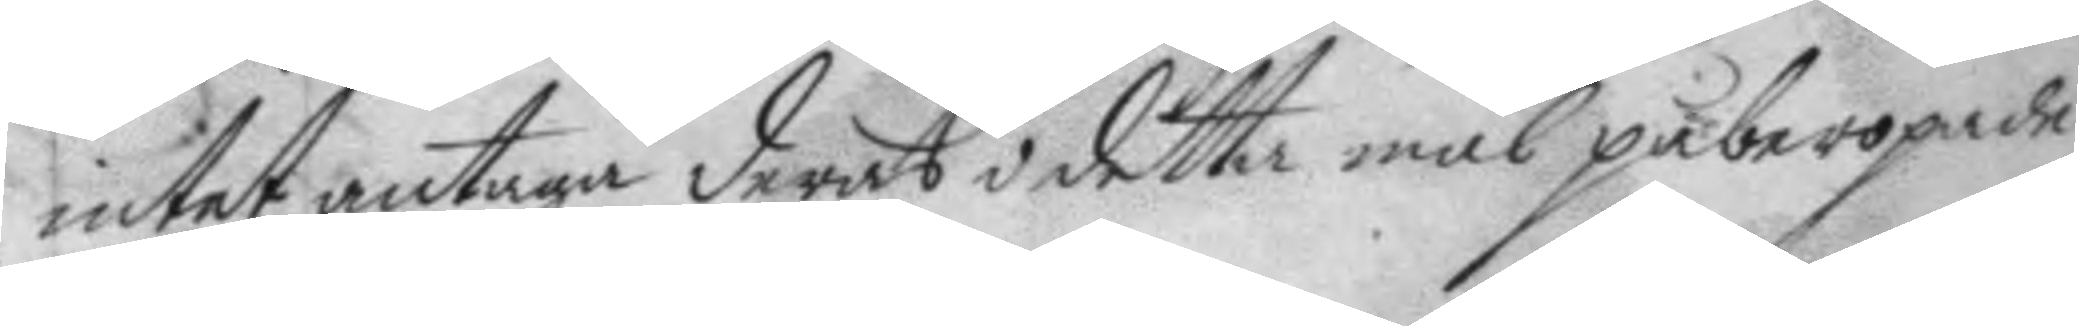intet antaga deras i detta mål påberopade
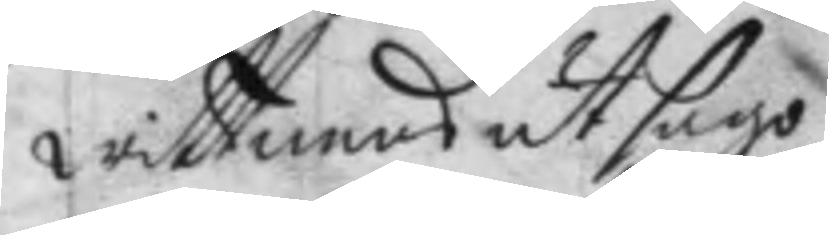wittnens utsago.
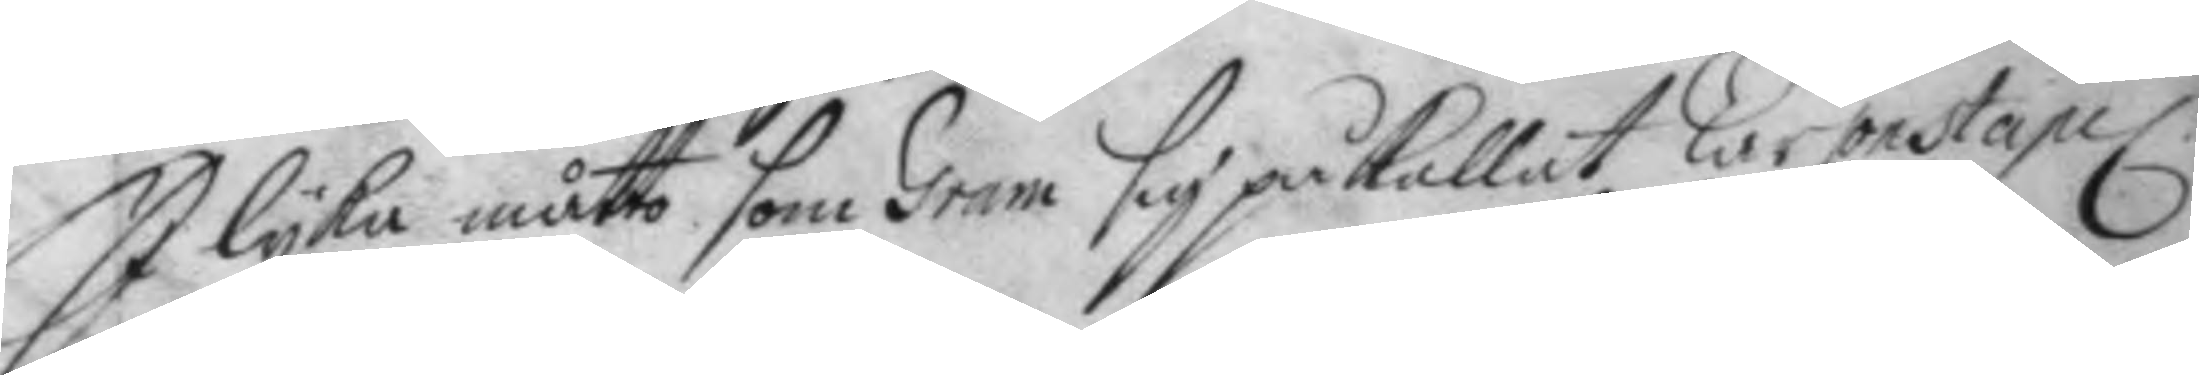I lyka måtto som Gram sig påkallat Lärconstapel
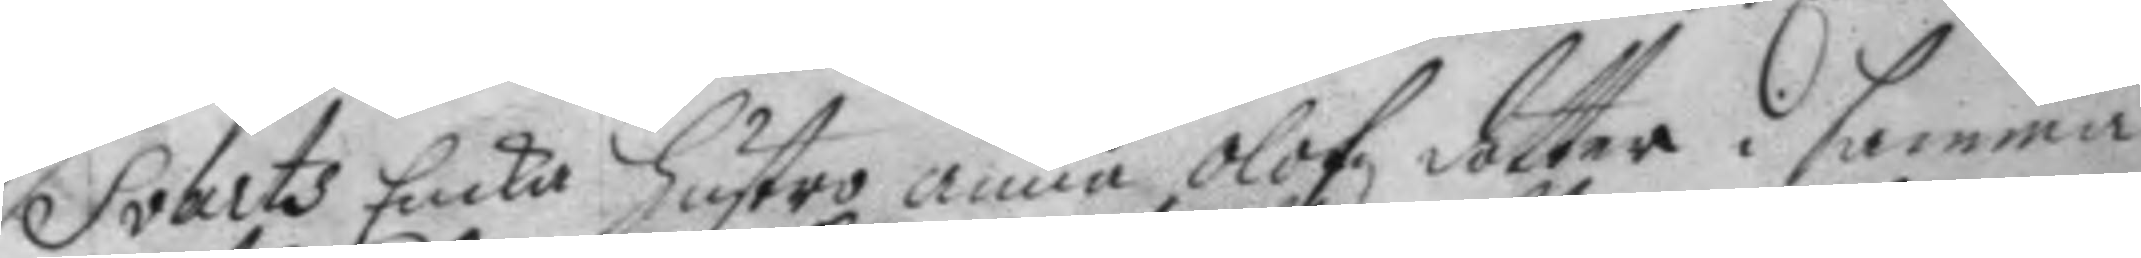Svarts Enka hustro anna Olofz dotter i samma
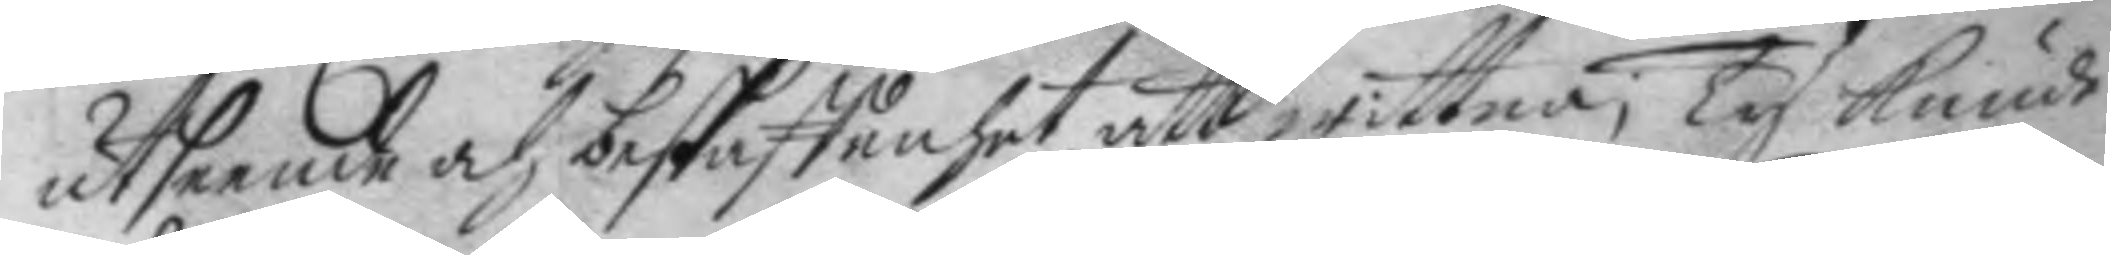utseende och beskaffenhet att wittna, Ty kunde
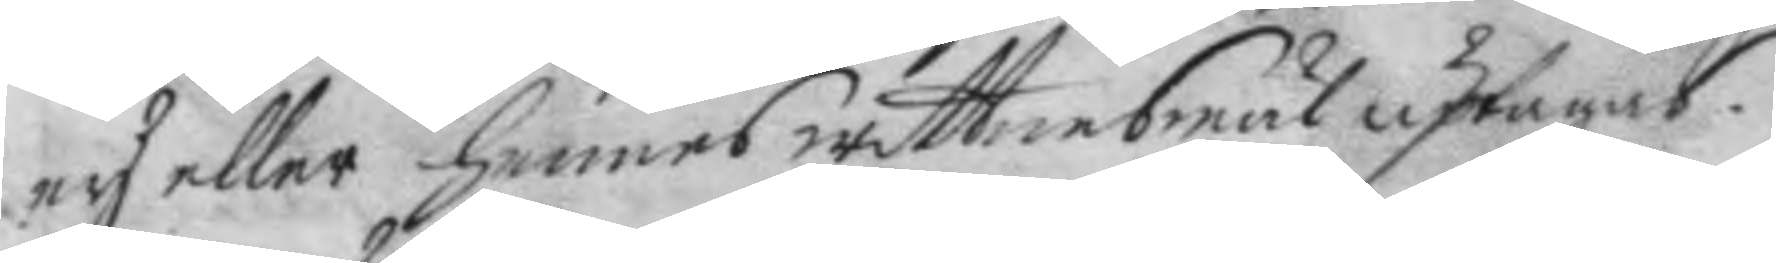ey eller hennes wittnesmåäl upagas.
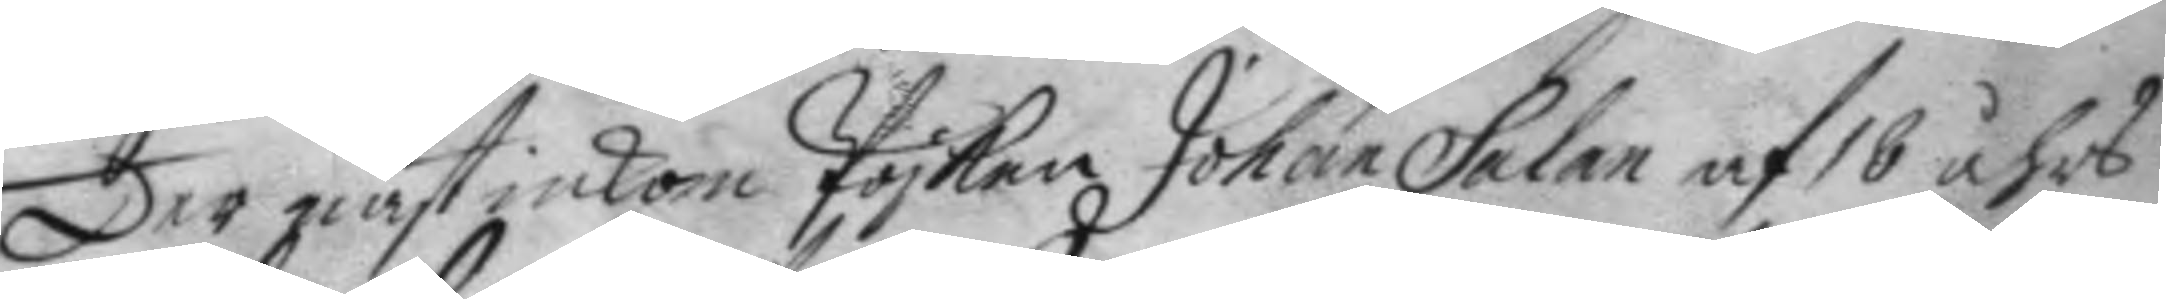Der näst inkom Pojken Johan Salan af 16 åhrs
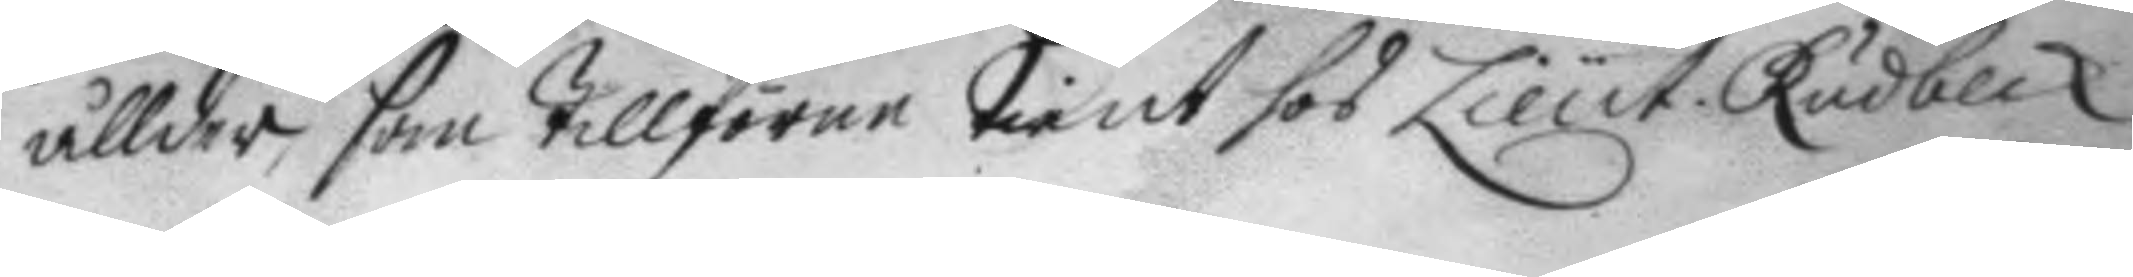ållder, som tillförne tient hos Lieut. Rudbeck
